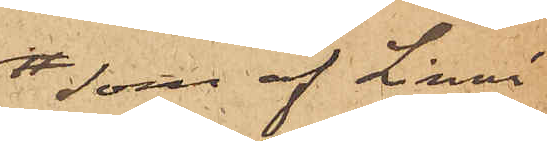som af Linné
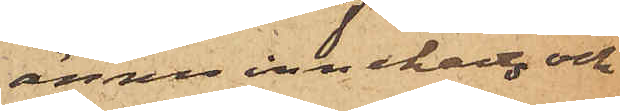ännu innehades och
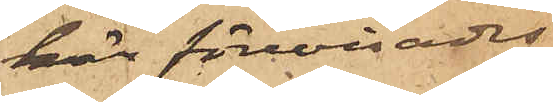här förevisadts
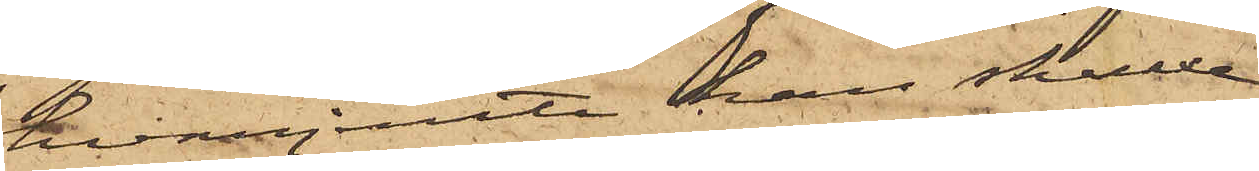hvarjemte han skulle
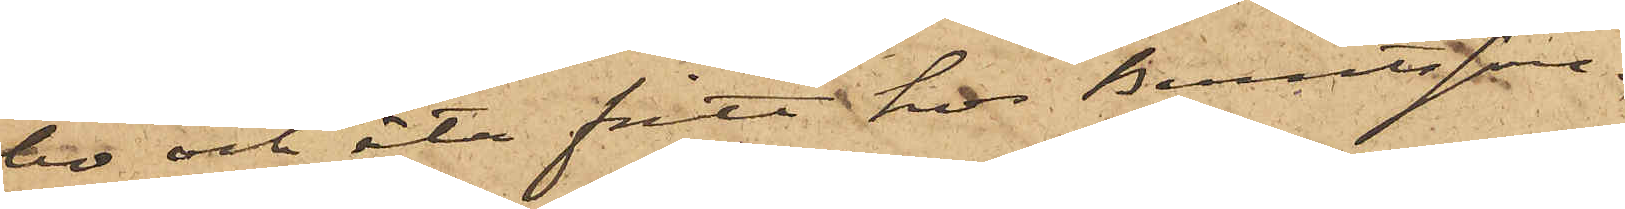bo och äta fritt hos Berntsson.
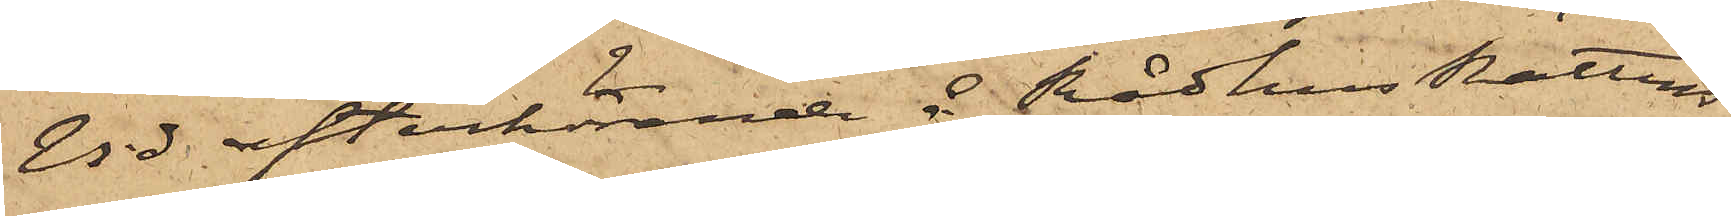Vid efterhörande å RådhusRättens
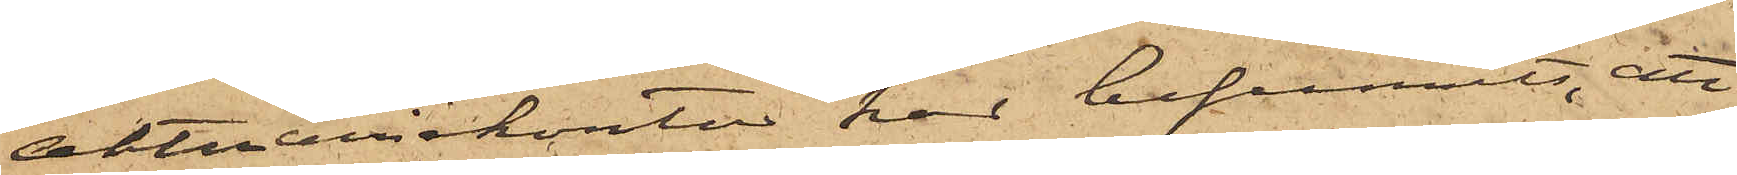Aktuariekontor har befunnits, att
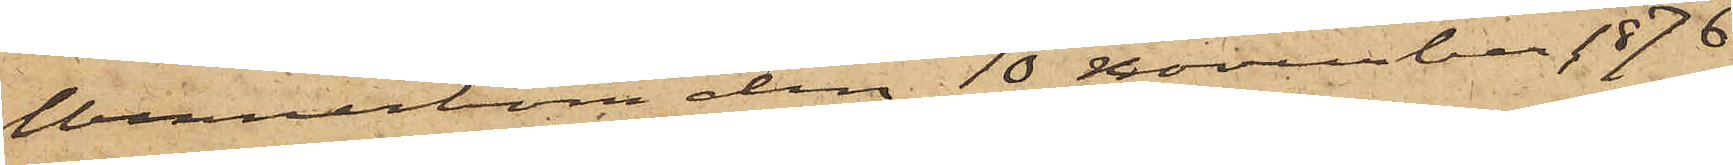Wennerbom den 10 November 1876
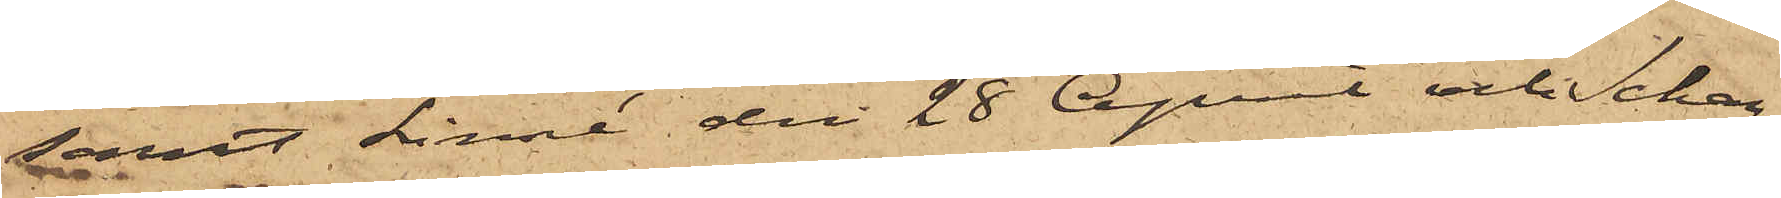samt Linné den 28 April och Schar¬
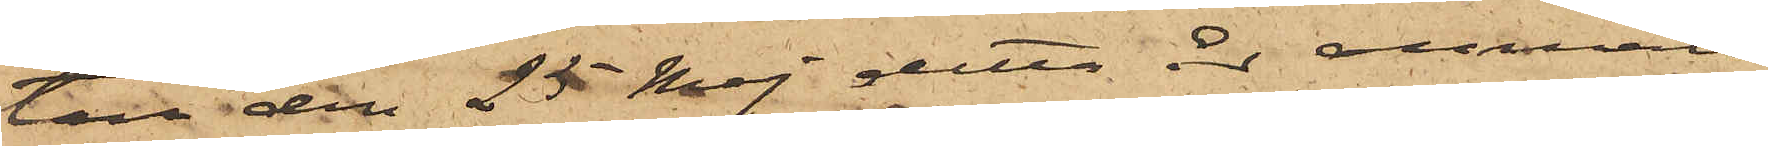tau den 25 Maj detta år anmält
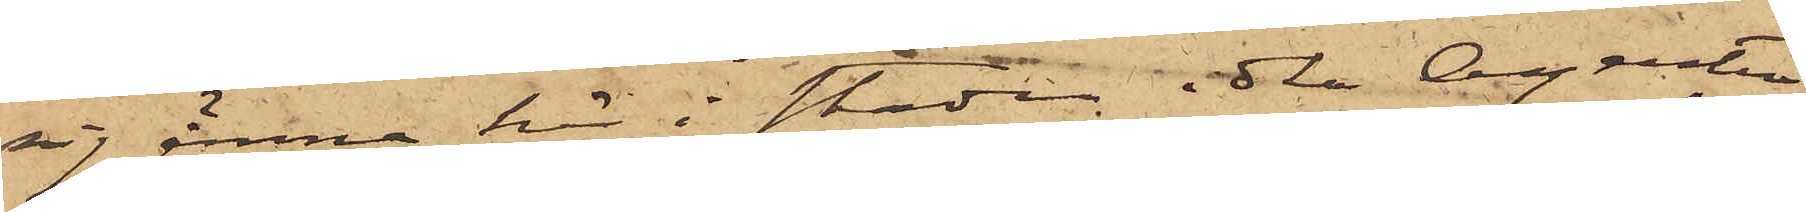sig ämna här i staden idka Agentur,
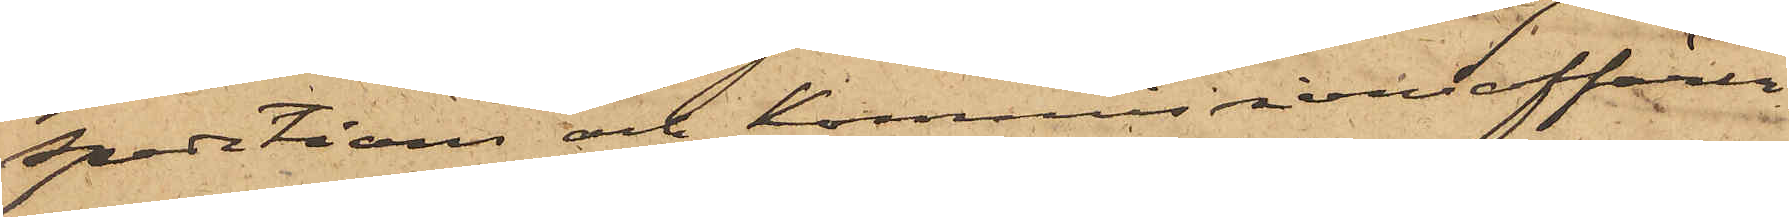Spedition och Kommissionsaffärer.
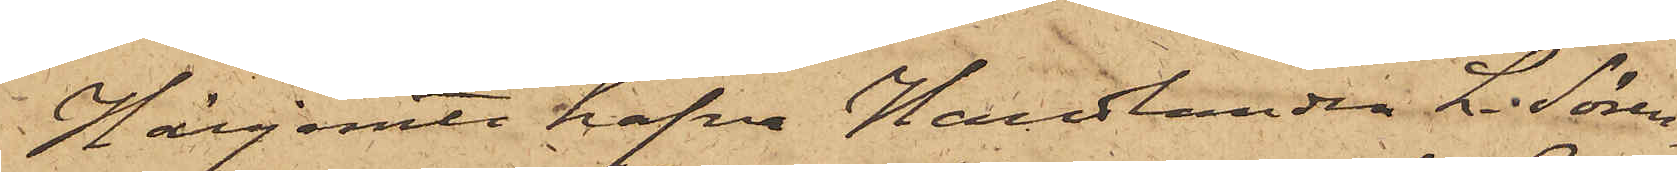Härjemte hafva Handlanden L. Sören¬
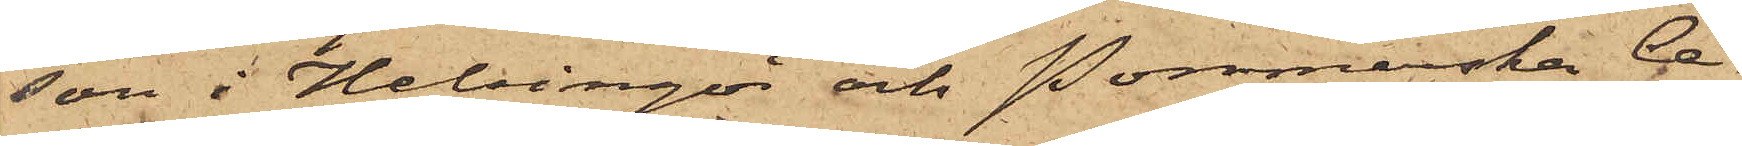son i Helsingör och Pommerska Ce¬
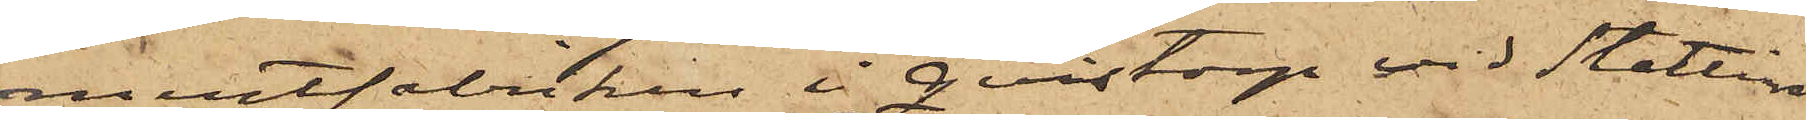mentfabriken i Qvistorp vid Stettin
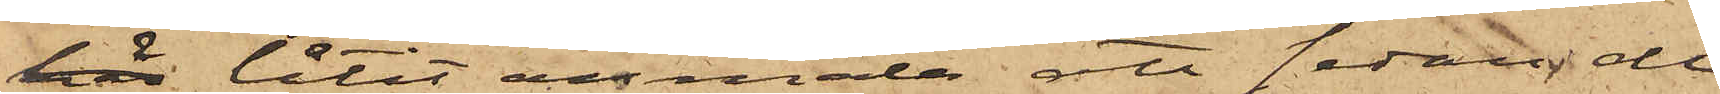här låtit anmäla att sedan de
